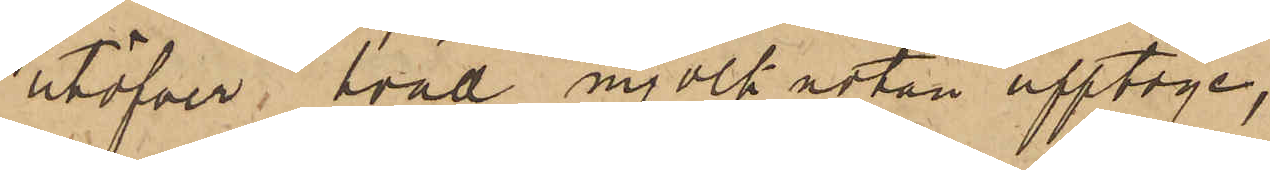utöfver hvad mjölknotan upptoge,
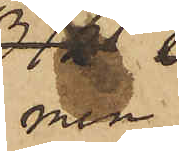men
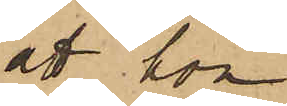att hon
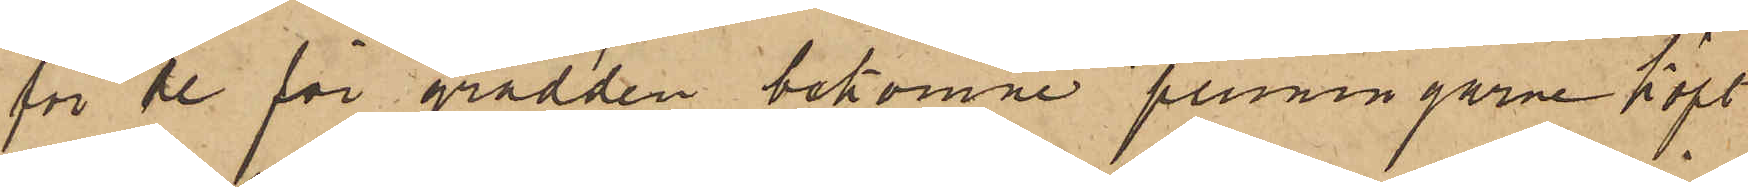för de för grädden bekomne penningarne köpt
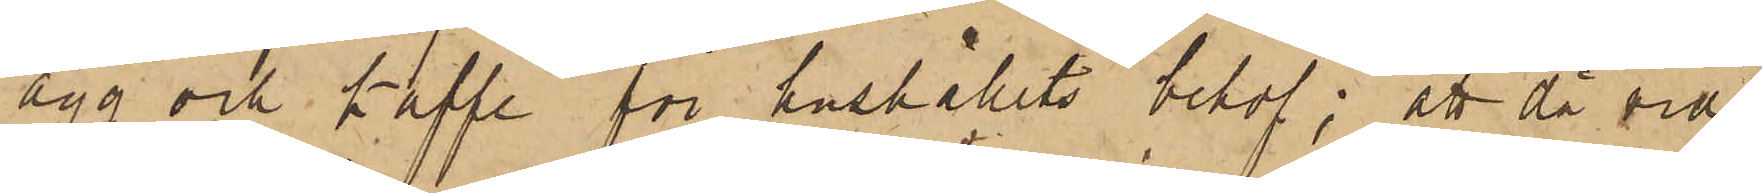ägg och kaffe för hushållets behof; att då vid
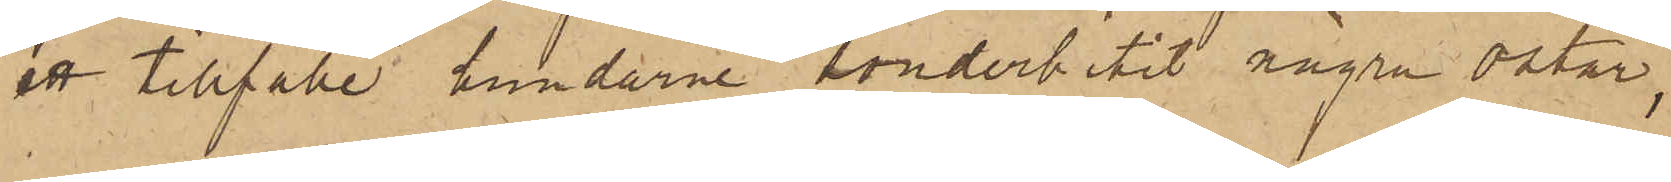ett tillfälle hundarne sönderbitit några ostar,
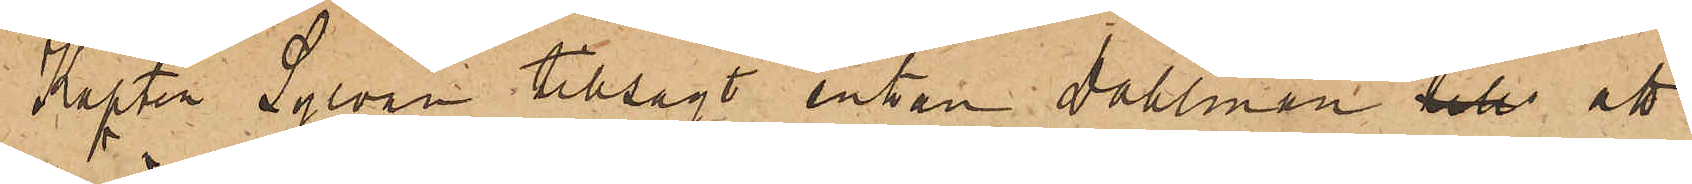Kapten Sylvan tillsagt enkan Dahlman beh att
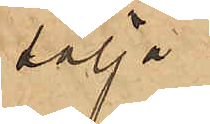sälja
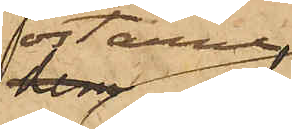ostarne,
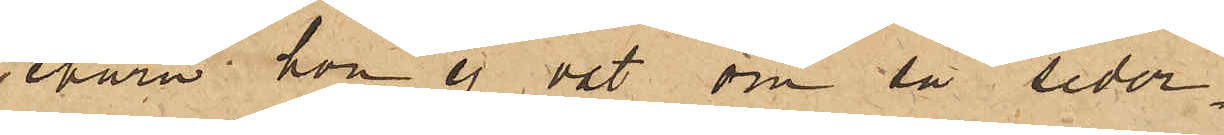ehuru hon ej vet om så seder¬
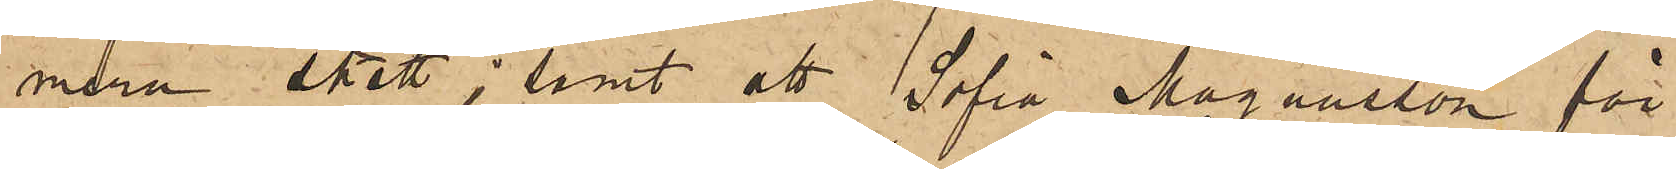mera skett; samt att Sofia Magnusson för
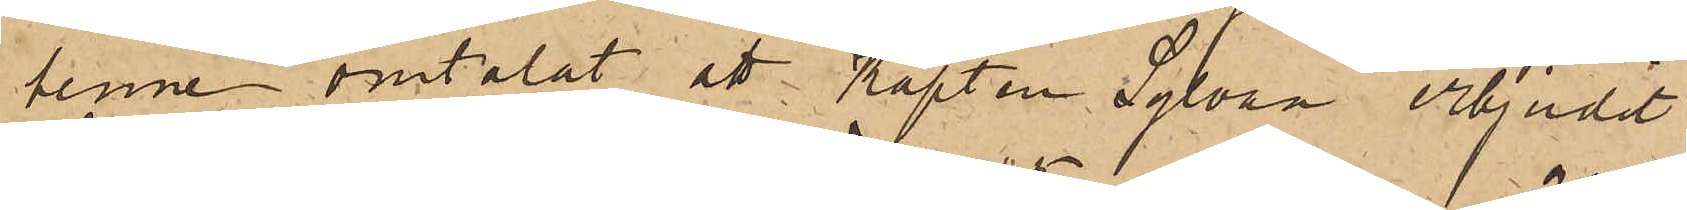henne omtalat att Kapten Sylvan erbjudit
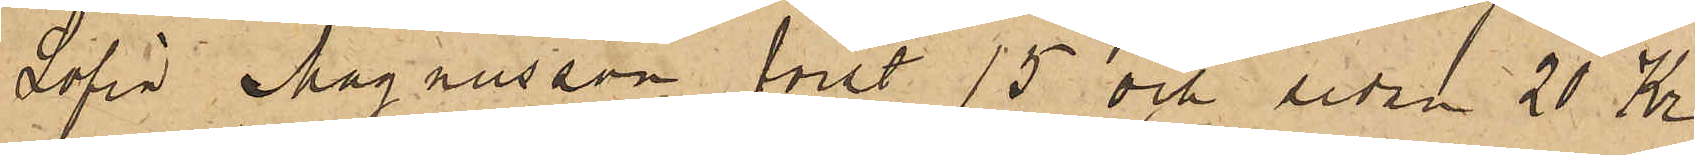Sofia Magnusson först 15 och sedan 20 Kr,
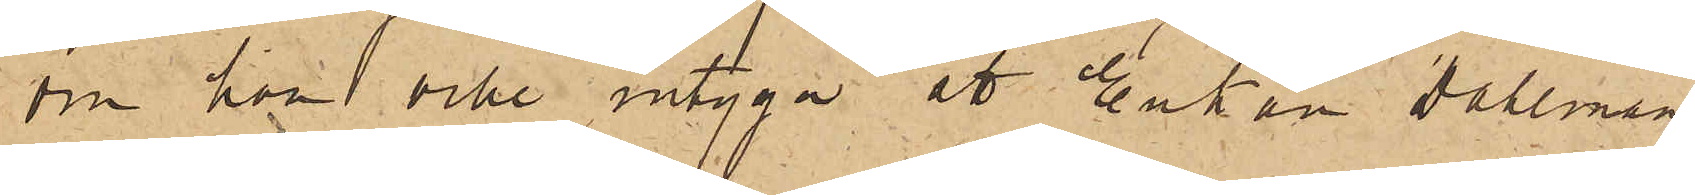om hon ville intyga att Enkan Dahlman
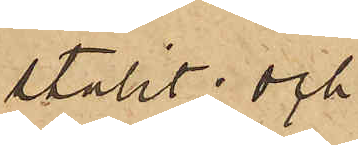stulit; och
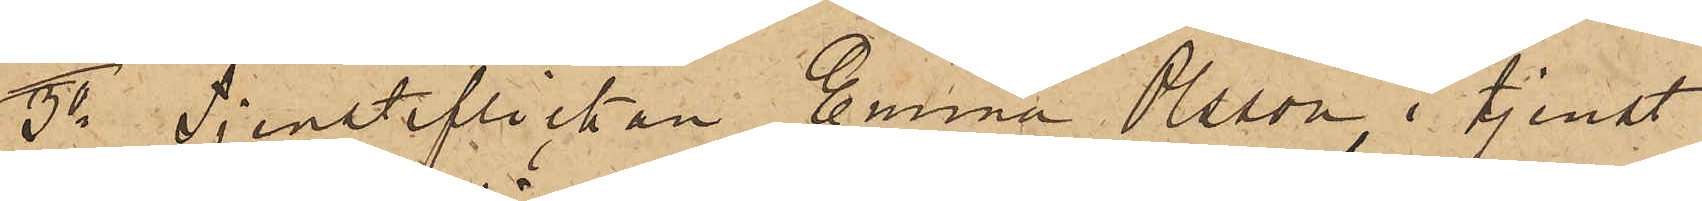3o Tjensteflickan Emma Olsson, i tjenst
